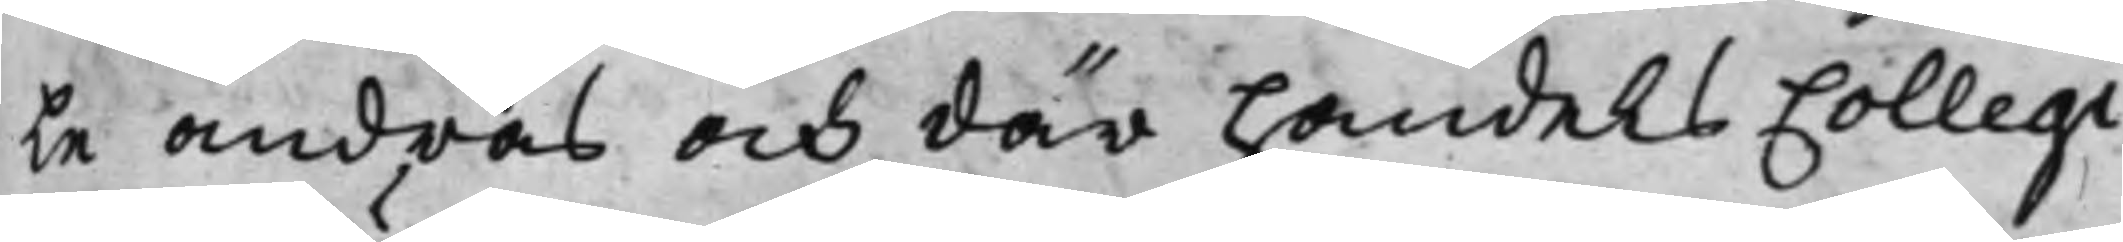le andras och där handels Collegi¬
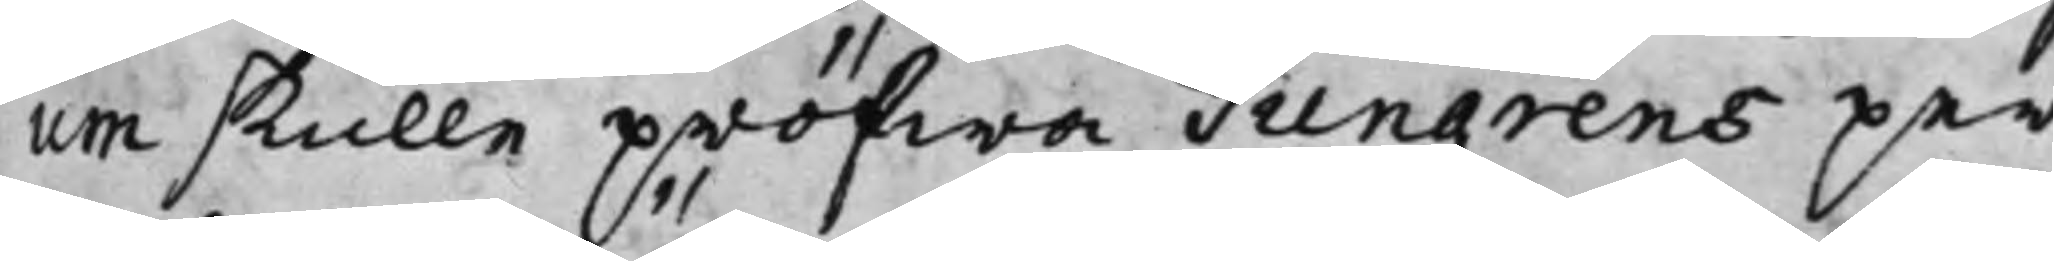um skulle pröfwa Tungrens per¬
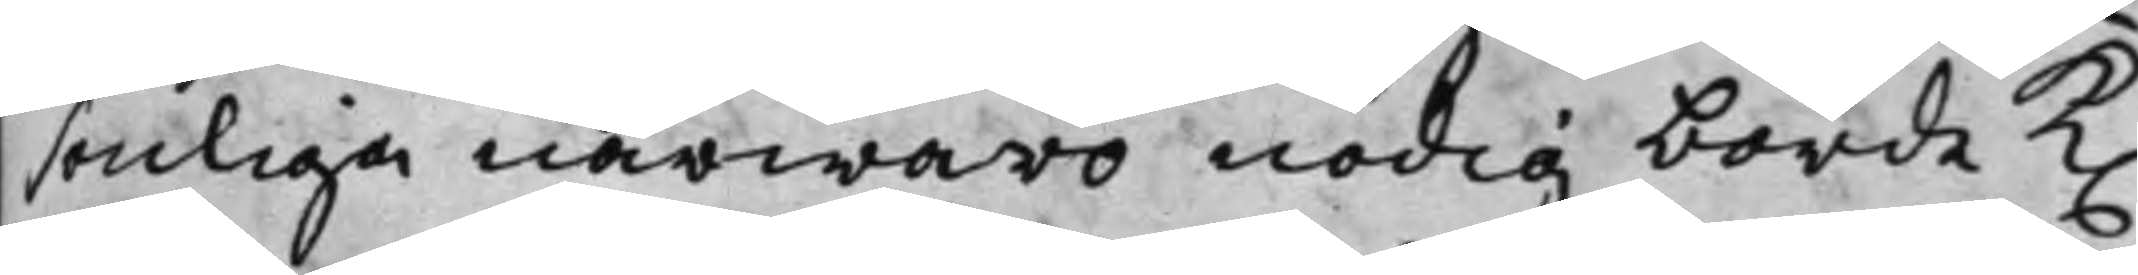senliga närwaro nödig borde K.
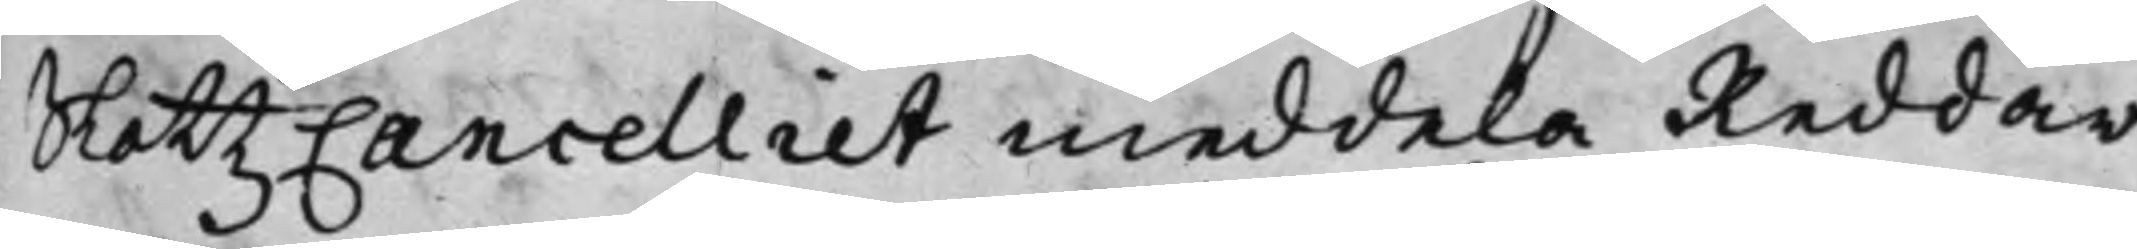SlottzCancelliet meddela Reddar¬
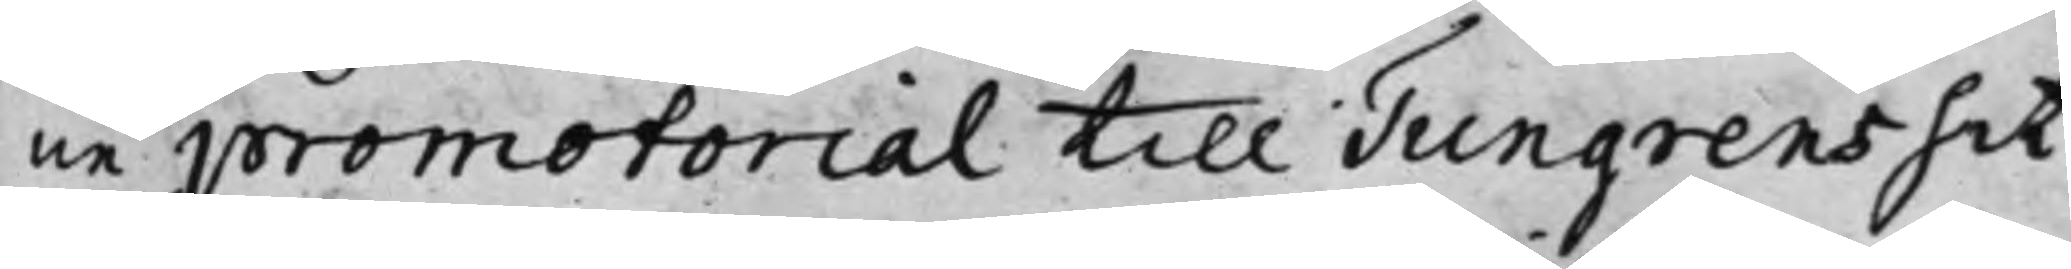ne promotorial till Tungrens hit¬
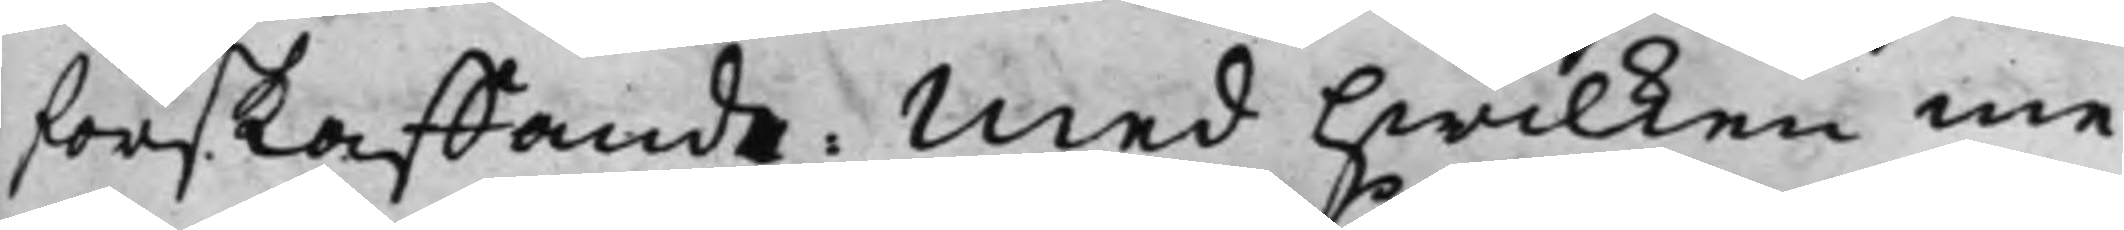förskaffande. Med hwilken me¬
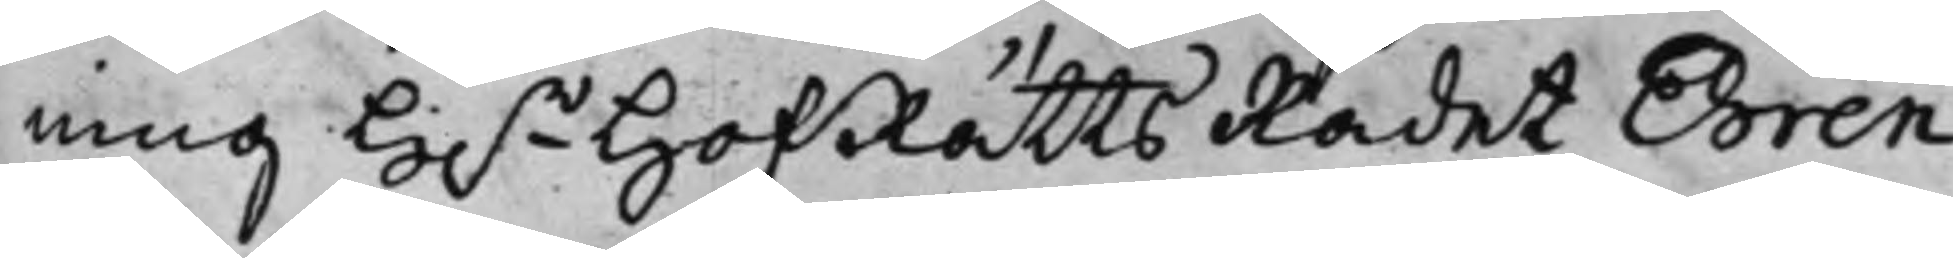ning H.r HofRättsRådet Ehren¬
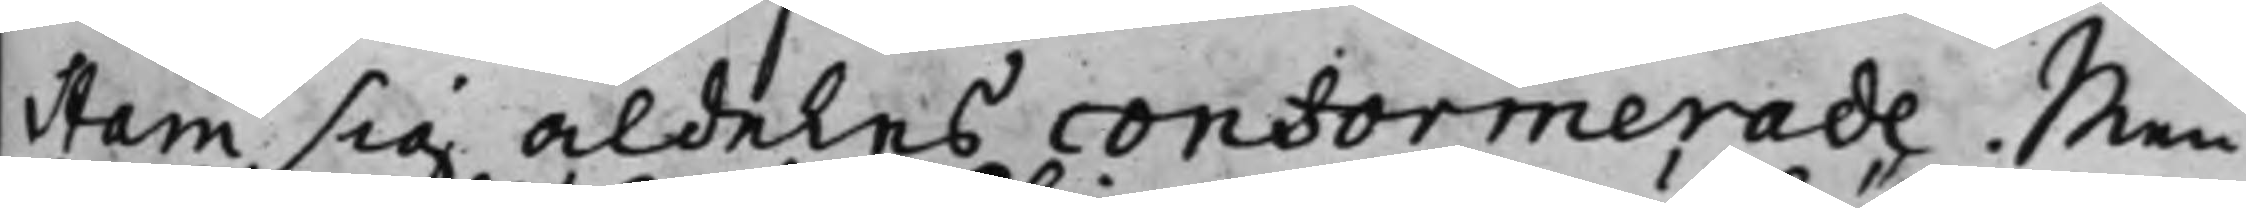stam sig aldeles conformerade. Men
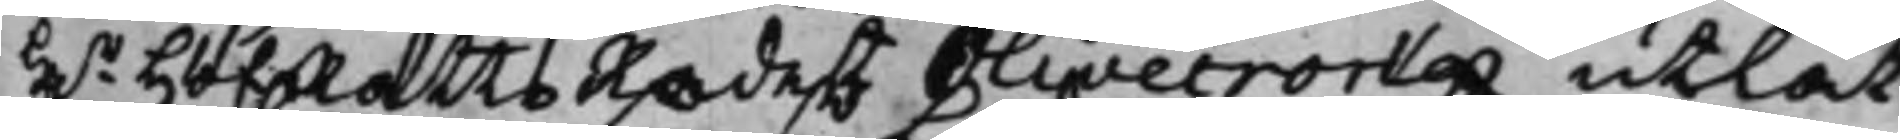H.r HofRättsRådets Olivecrona utlät
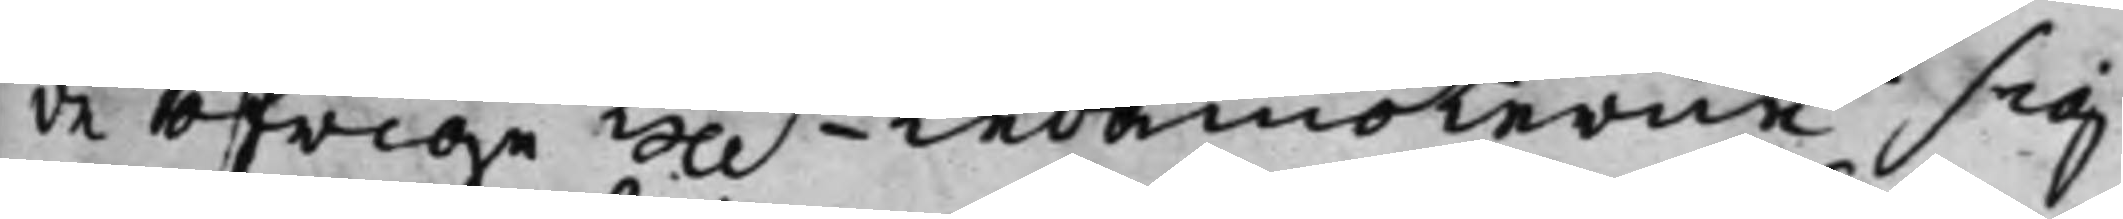de öfrige Hh.r  Ledamöterne sig
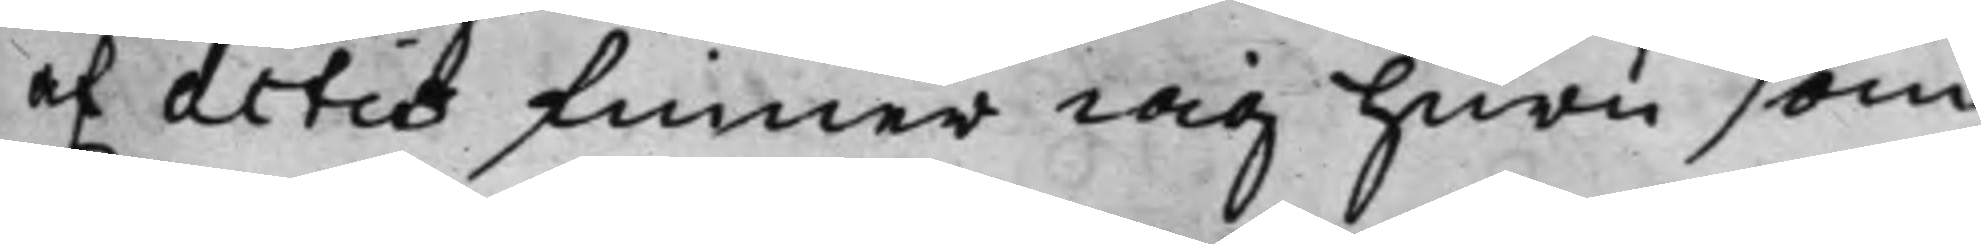af actis finner iag huru som
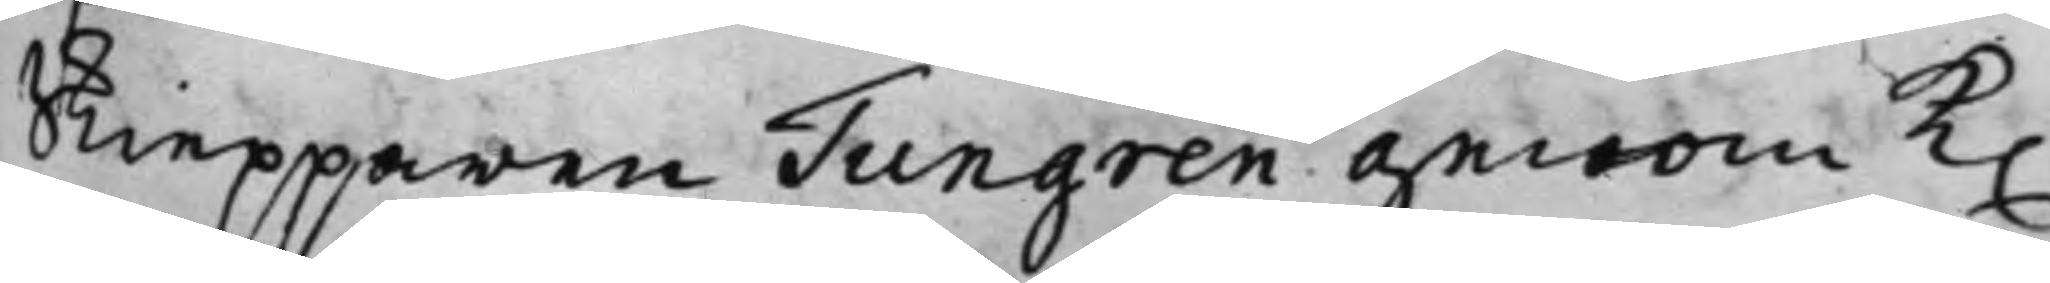Skiepparen Tungren genom K.
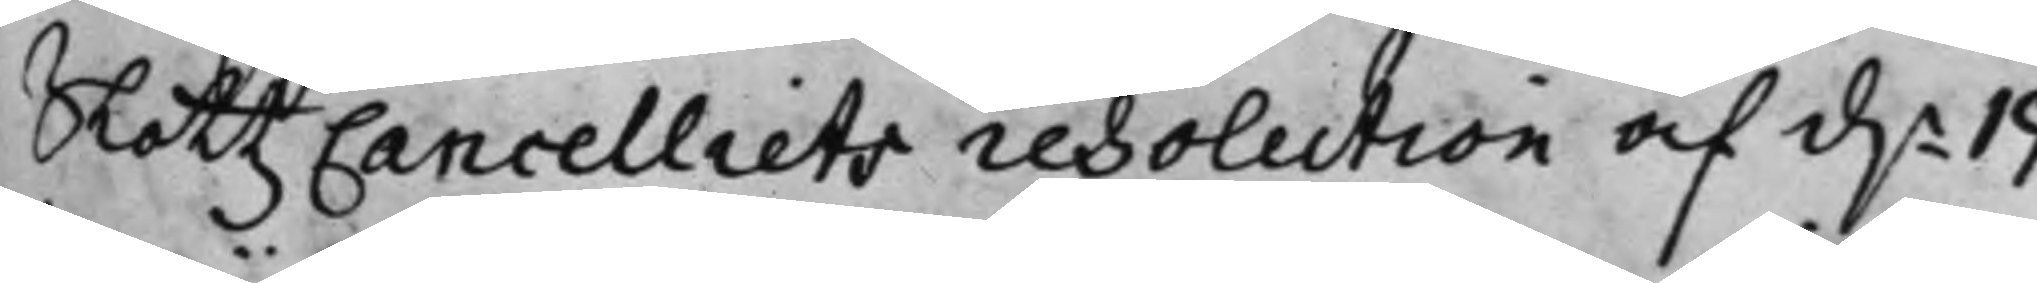SlottzCancelliets resolution af d.n 19
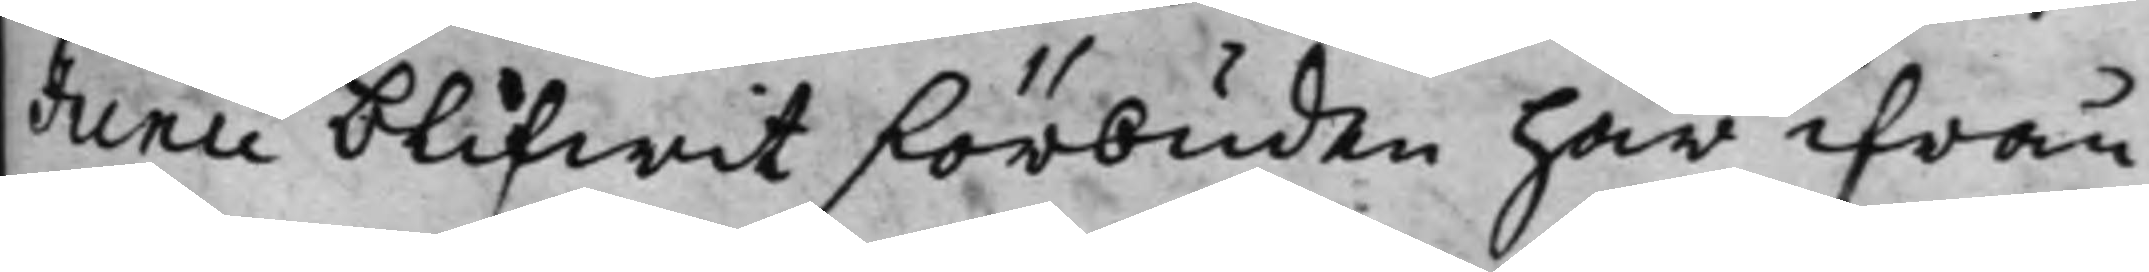Junii blifwit förbuden här ifrån
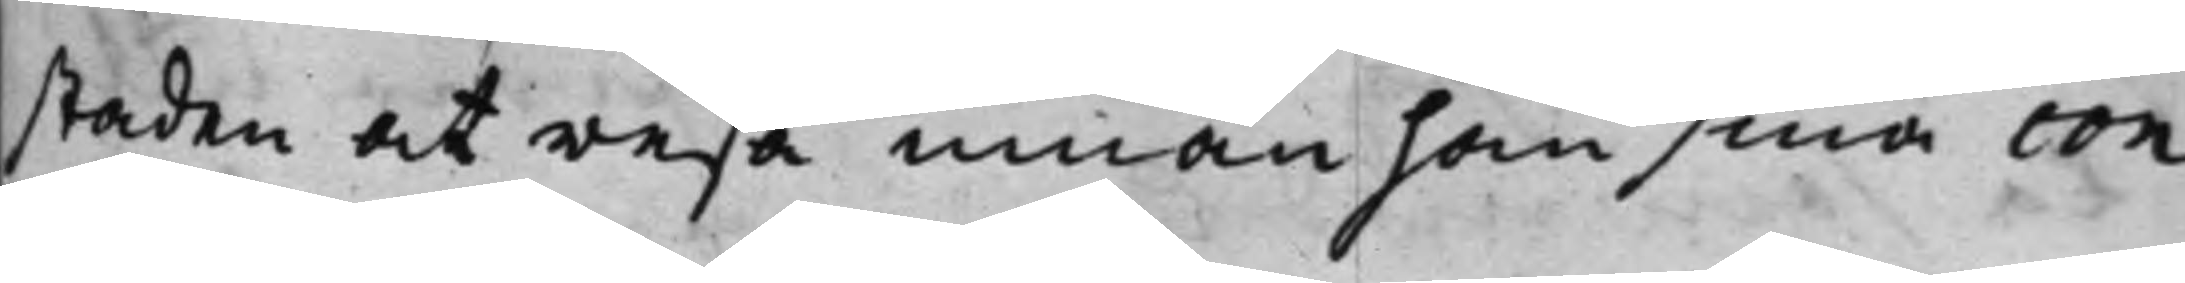staden at resa innan han sina con¬
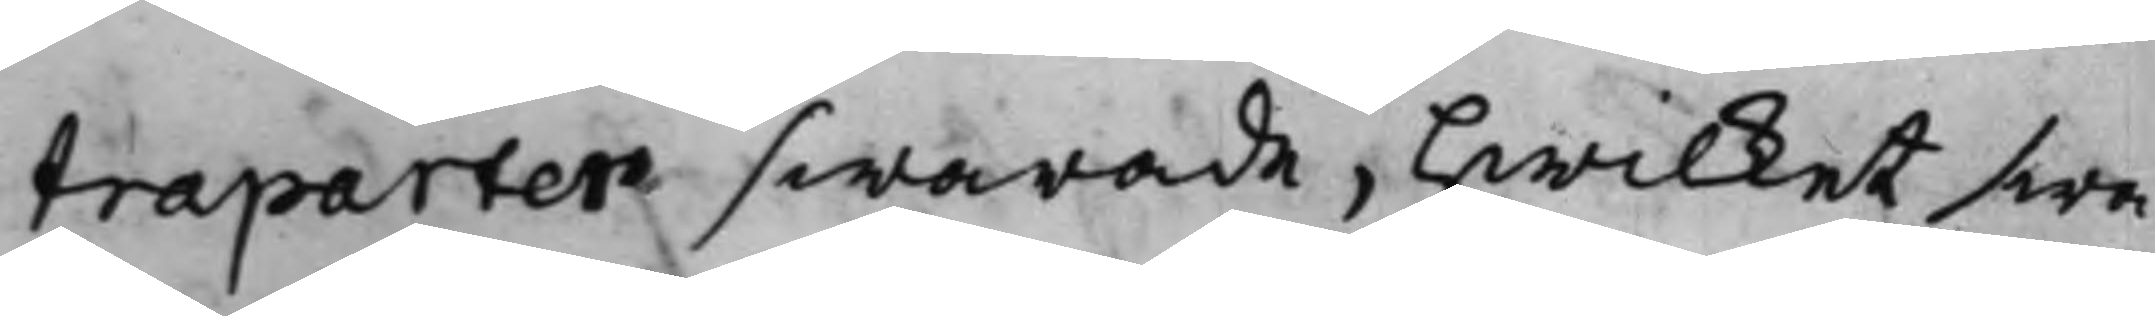traparten swarade, hwilket swa¬
